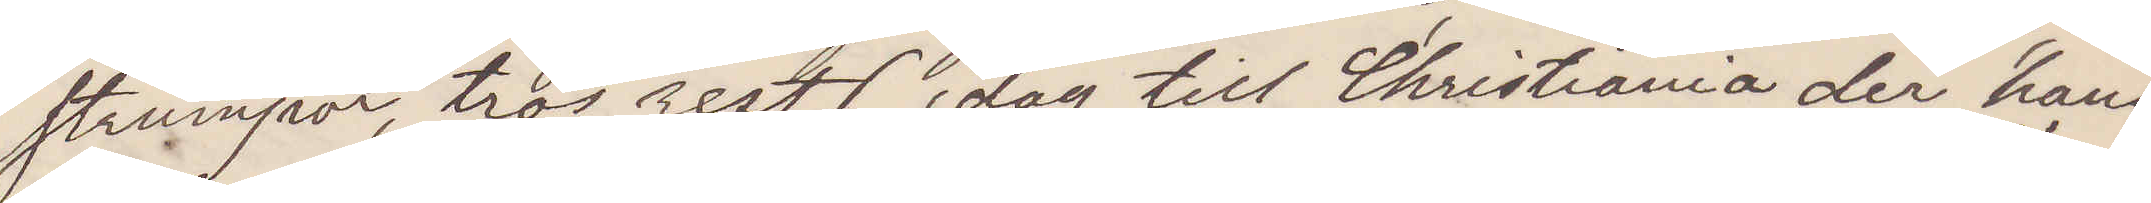strumpor, tros rest (idag till Christiania der hans
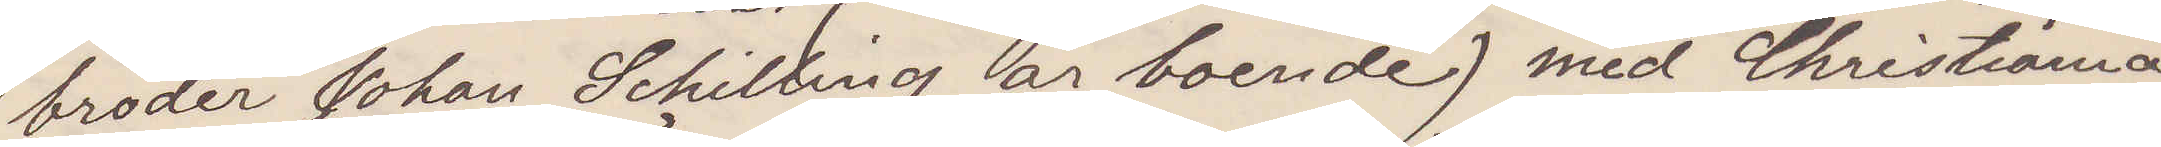broder Johan Schilling är boende) med Christiania
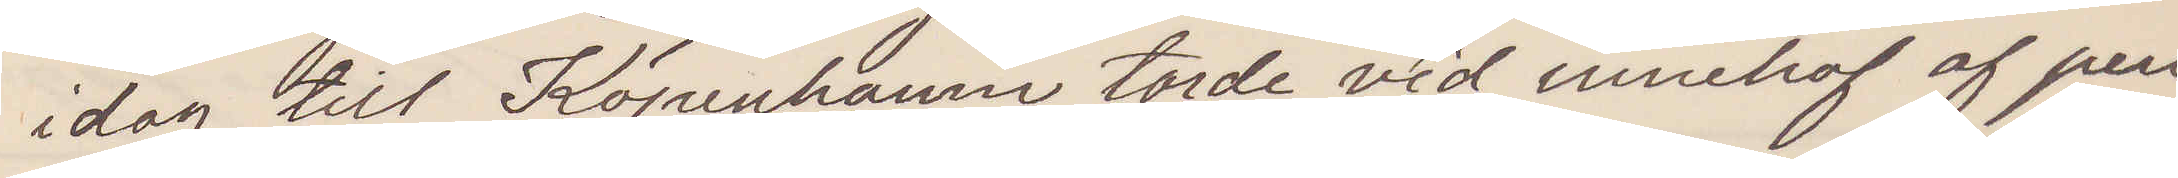idag till Köpenhamn torde vid innehaf af pen¬
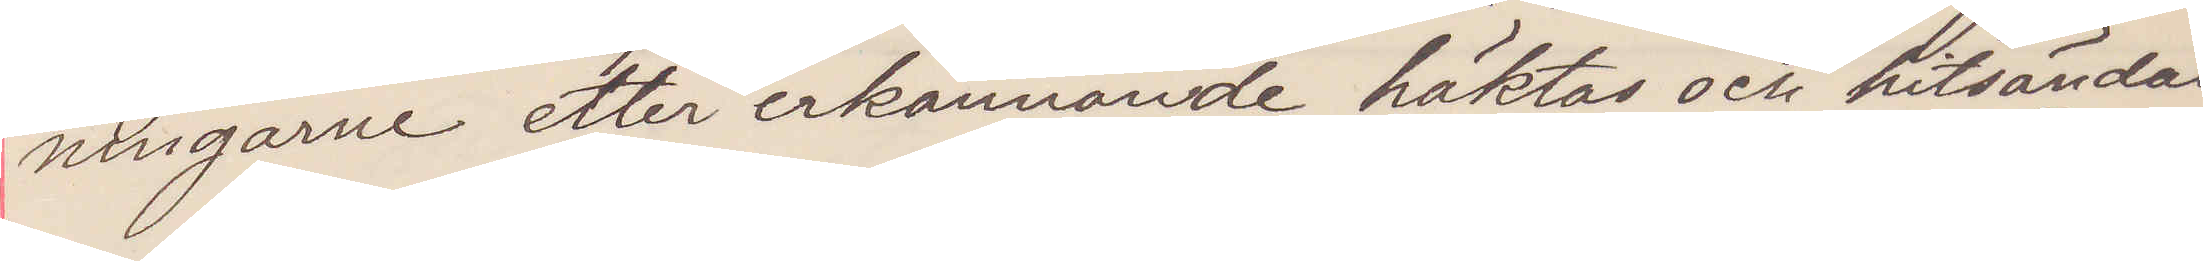ningarne etter erkännande häktas och hitsändas
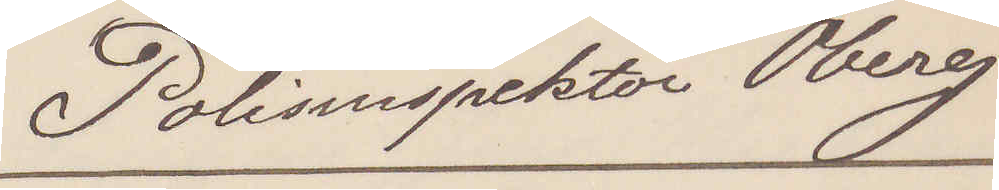Polisinspektor Öberg
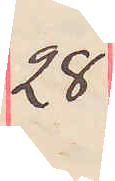28
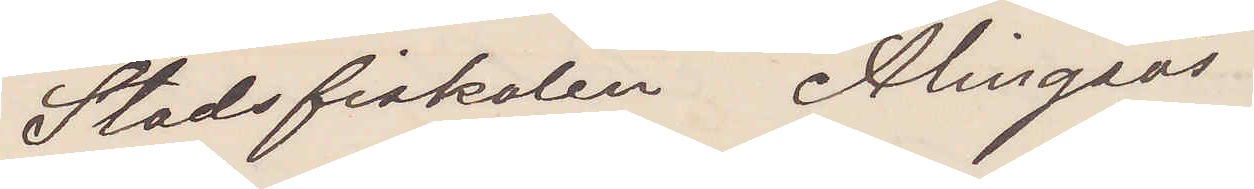Stadsfiskalen Alingsås
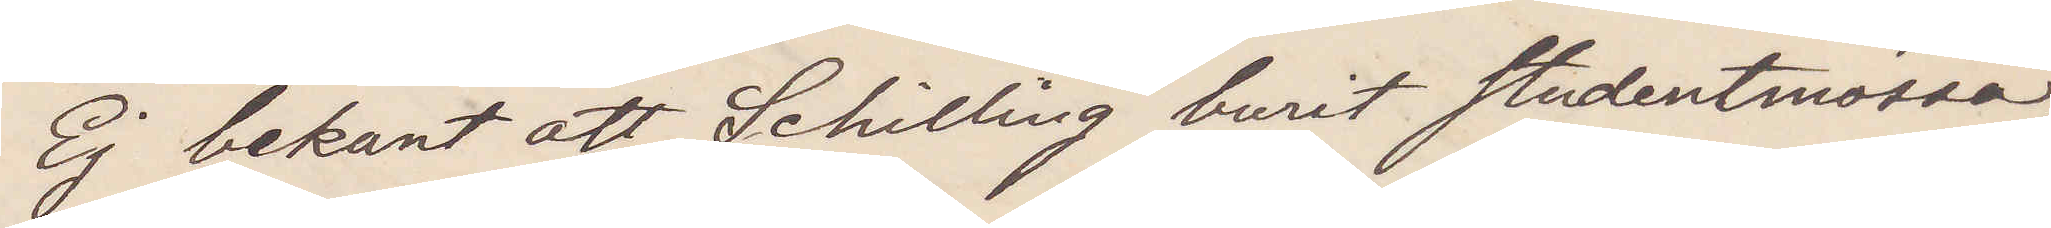Ej bekant att Schilling burit studentmössa,
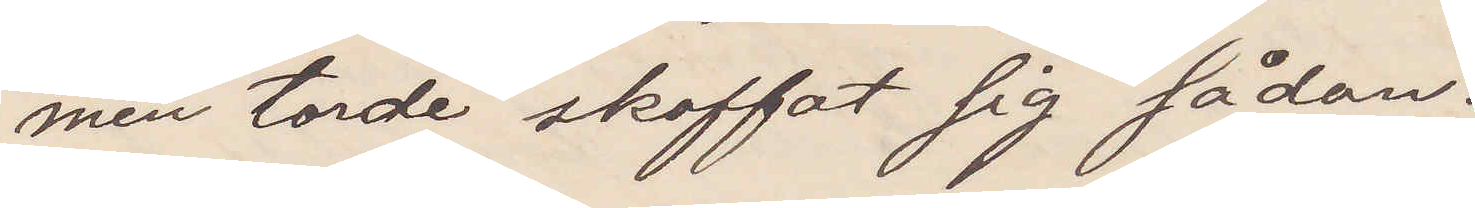men torde skaffat sig sådan.
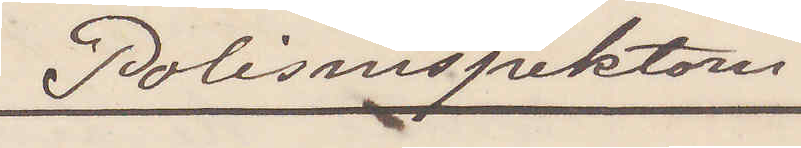Polisinspektorn
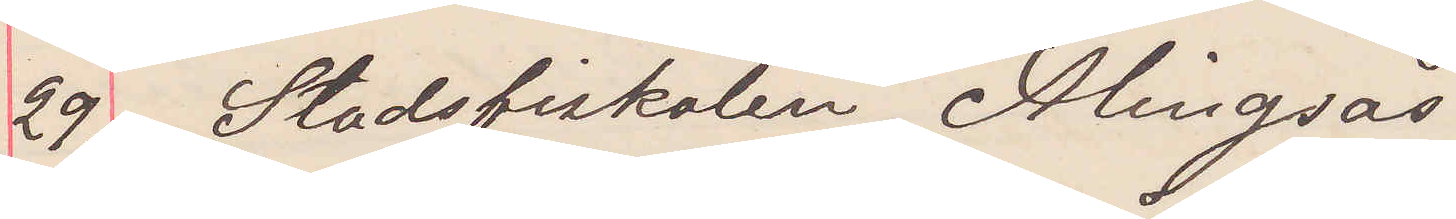29 Stadsfiskalen Alingsås.
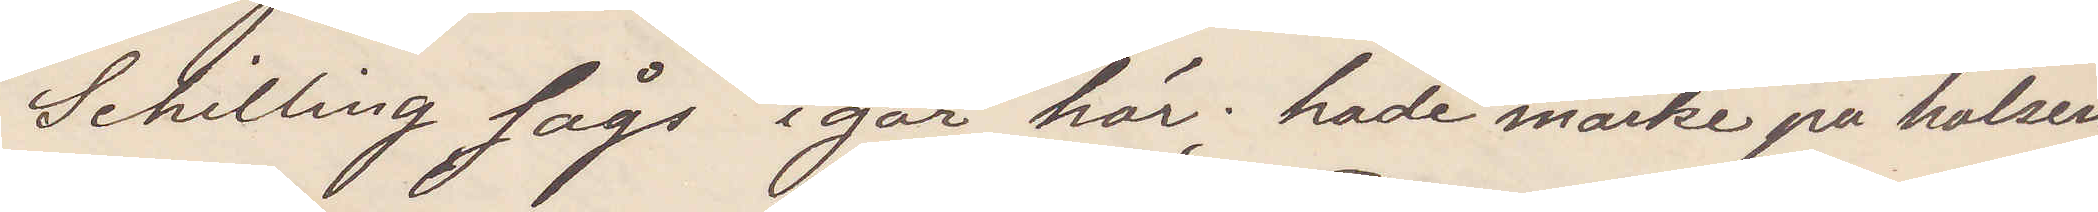Schilling sågs igår här; hade märke på halsen.
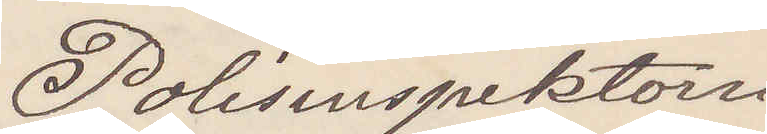Polisinspektorn
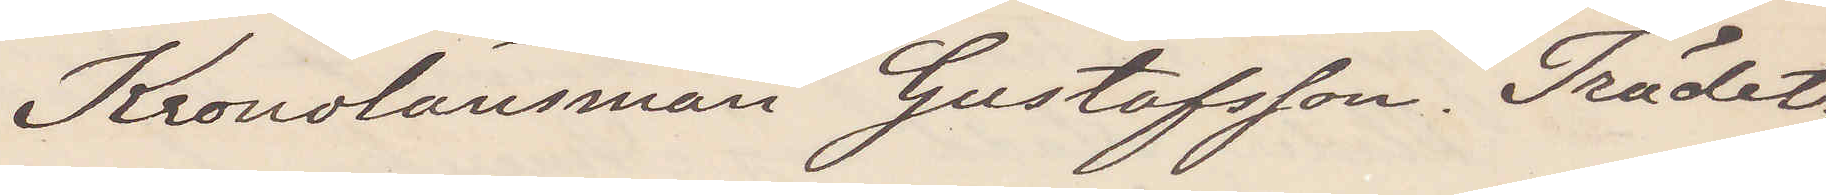Kronolänsman Gustafsson. Trädet.
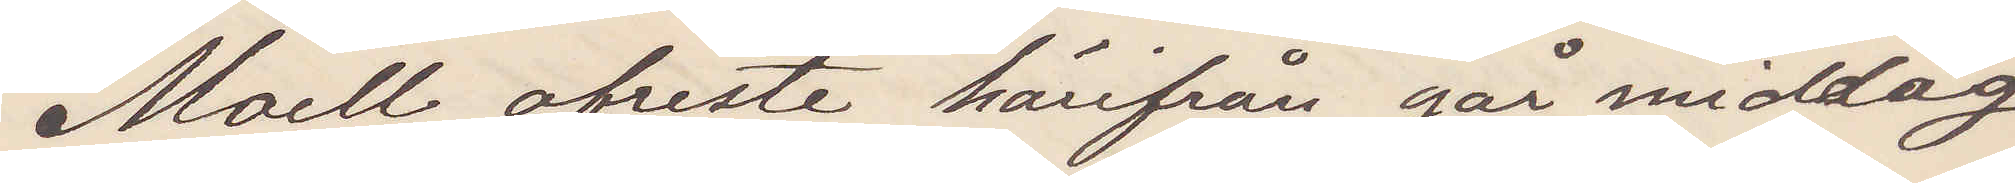Moell afreste härifrån går middag
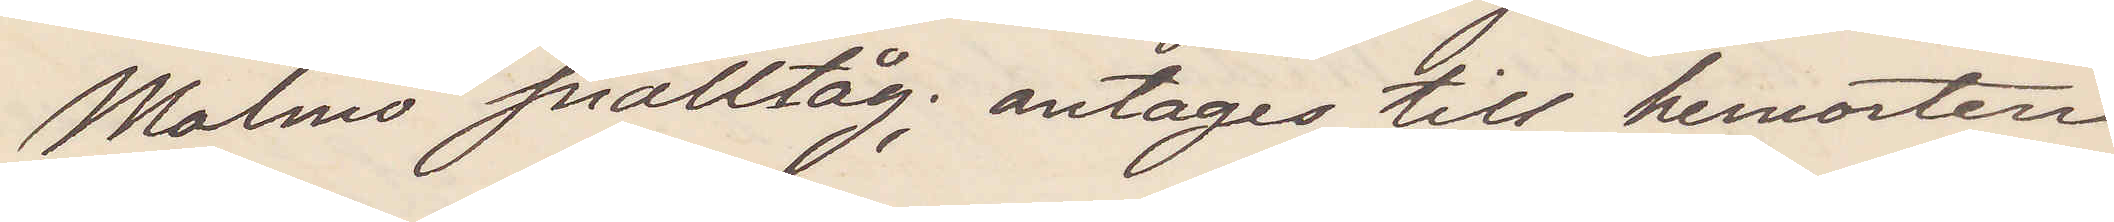Malmö snälltåg; antages till hemorten.
